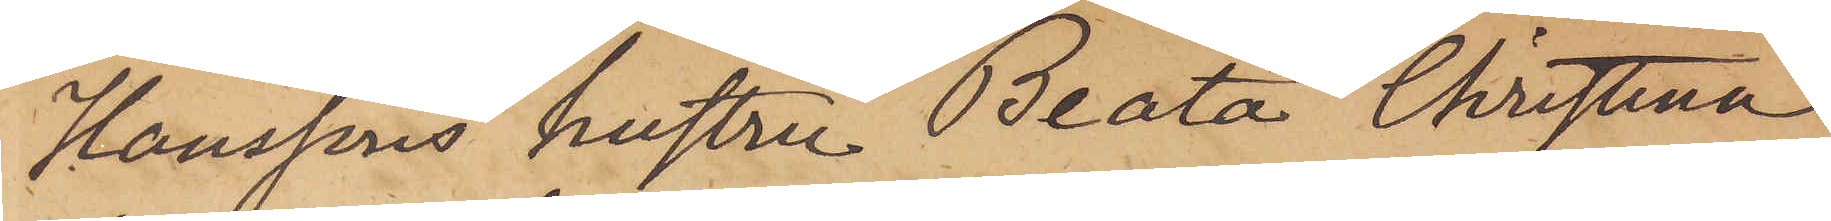Hanssons hustru Beata Christina
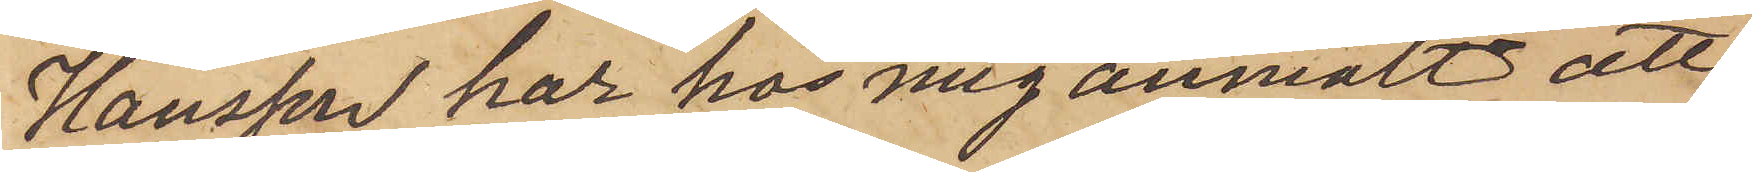Hansson har hos mig anmält att,
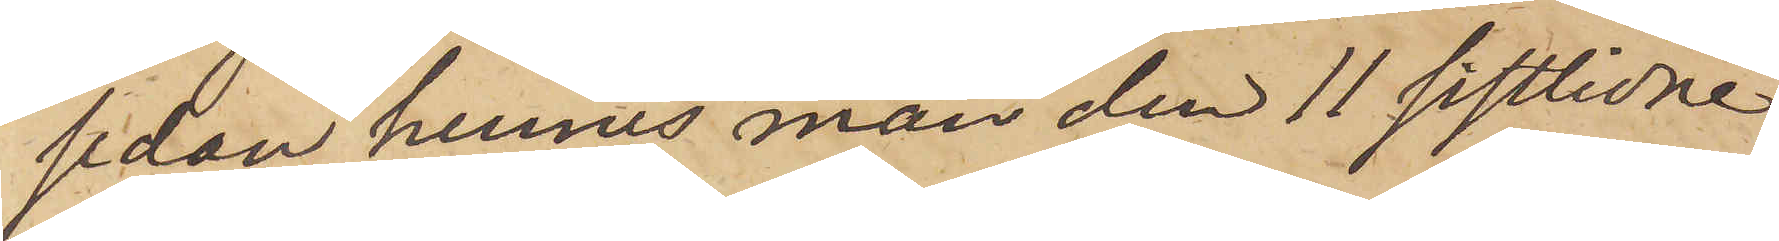sedan hennes man den 11 sistlidne
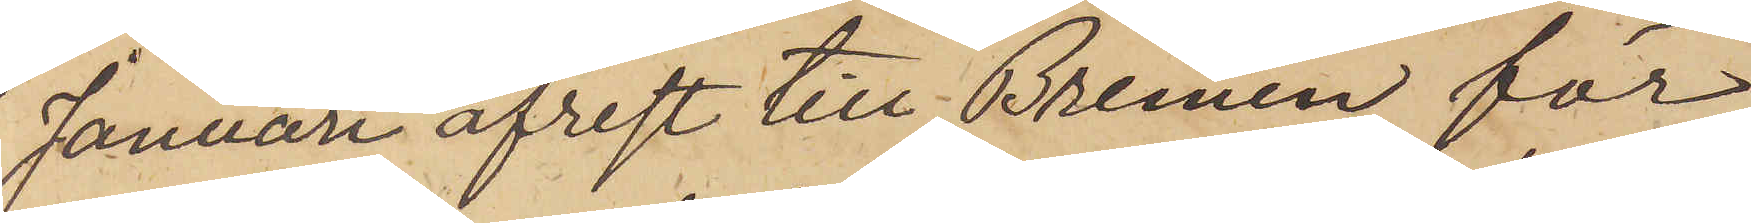Januari afrest till Bremen för
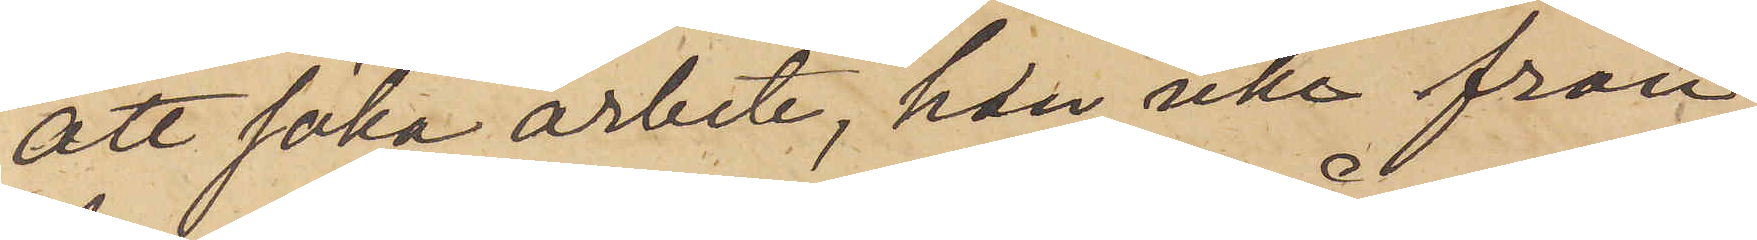att söka arbete, hon icke från
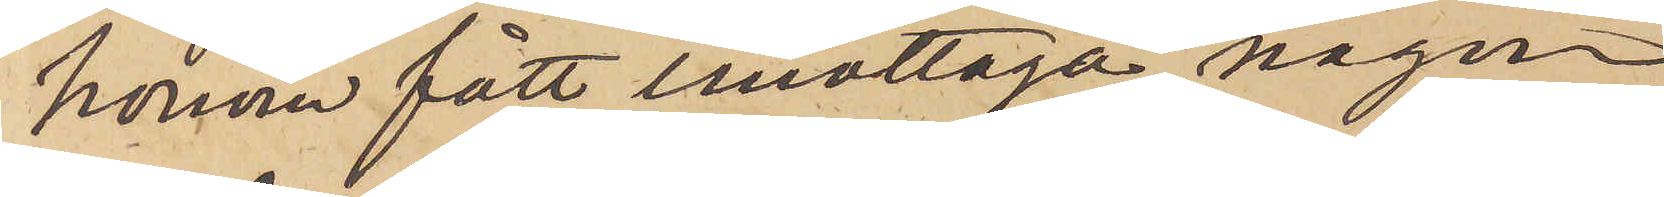honom fått emottaga någon
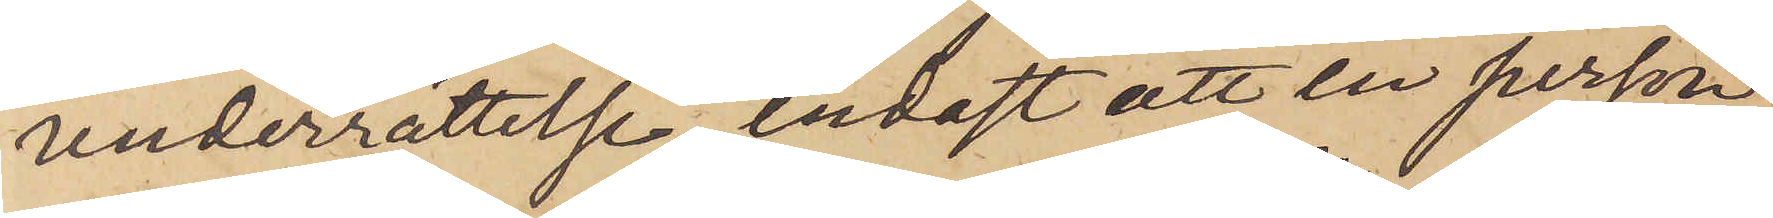underrättelse, endast att en person
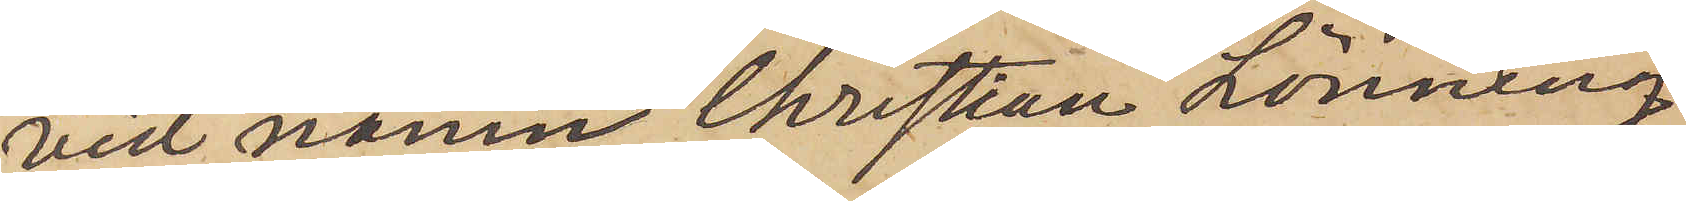vid namn Christian Lönning,
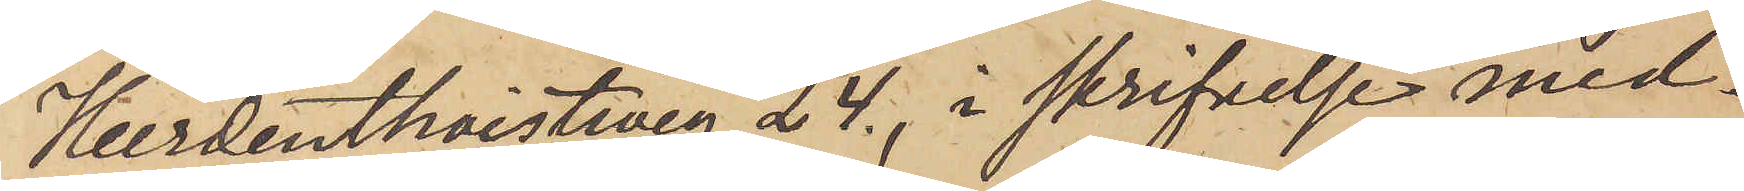Heerdenthoistweg 24, i skrifvelse med¬
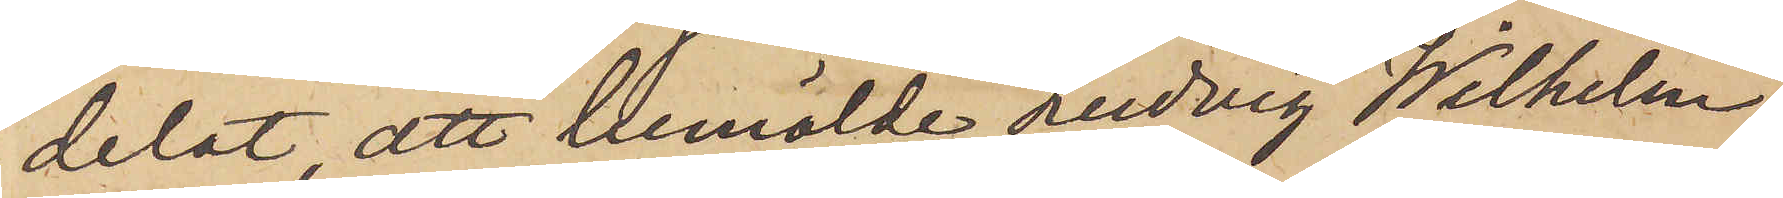delat, att bemälde Ludvig Wilhelm
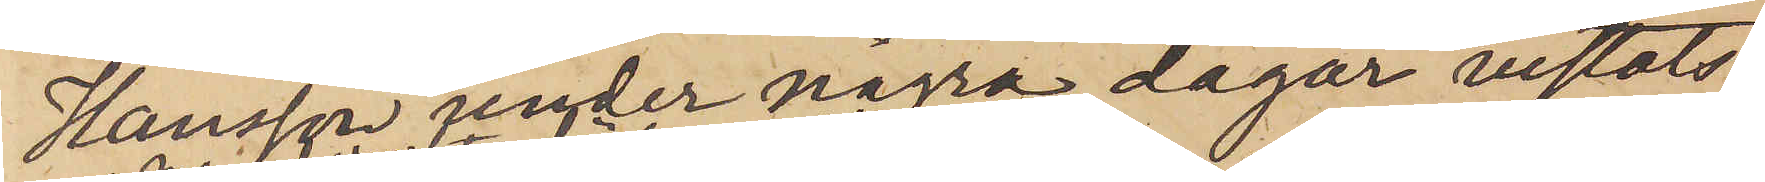Hansson under några dagar vistats
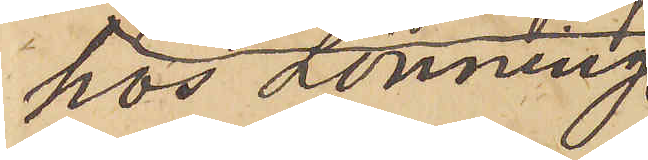hos Lönning,
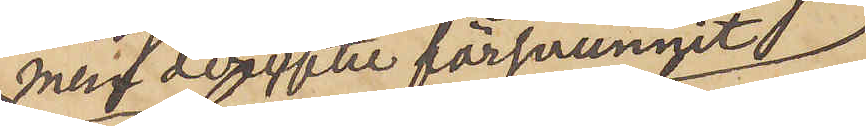men derefter försvunnit,
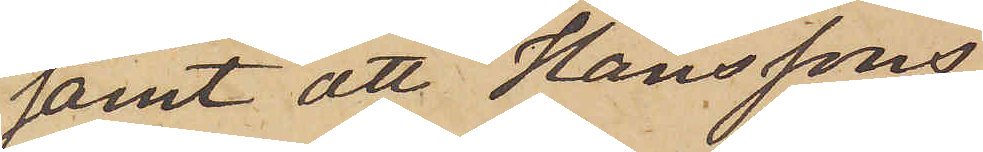samt att Hanssons
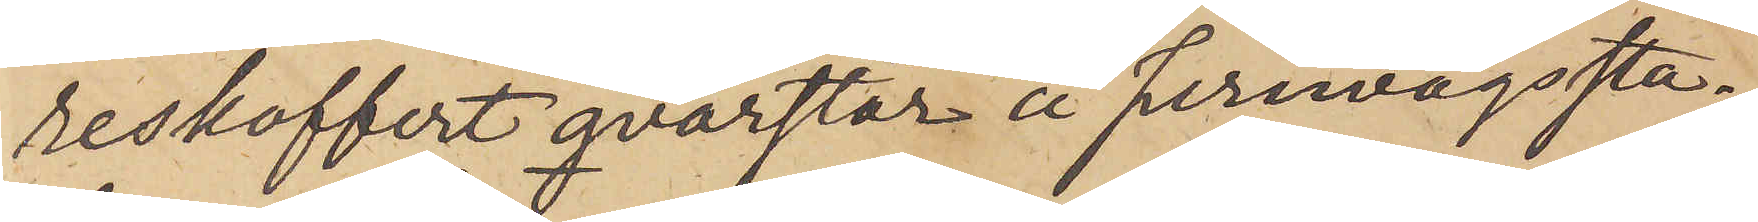reskoffert qvarstår å jernvägssta¬
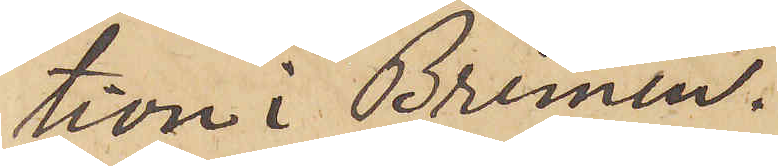tion i Bremen.
